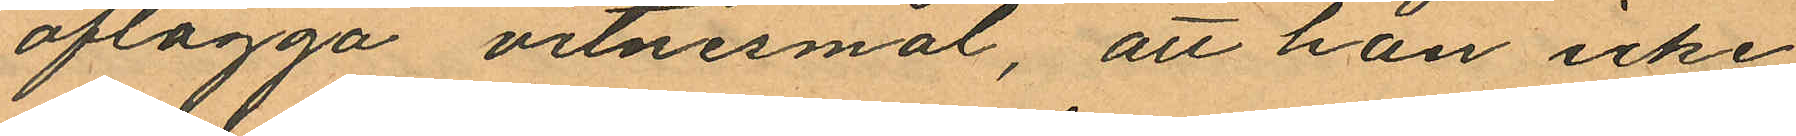aflägga vitnesmål, att han icke
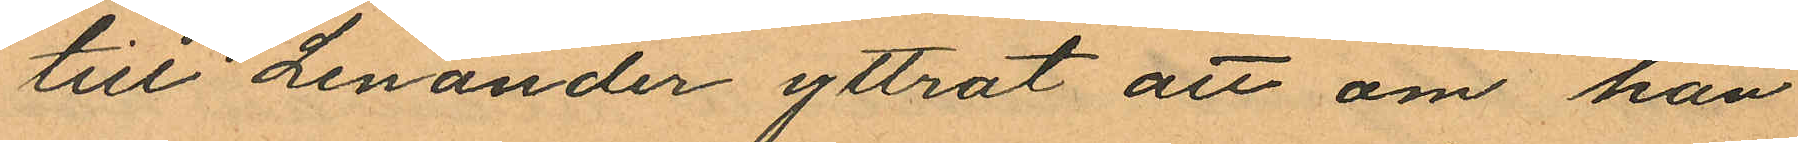till Lenander yttrat att om han
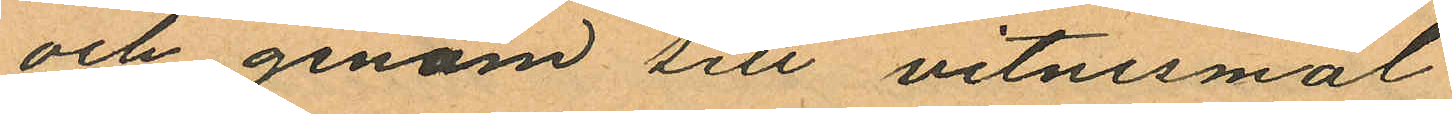och genom sitt vitnesmål
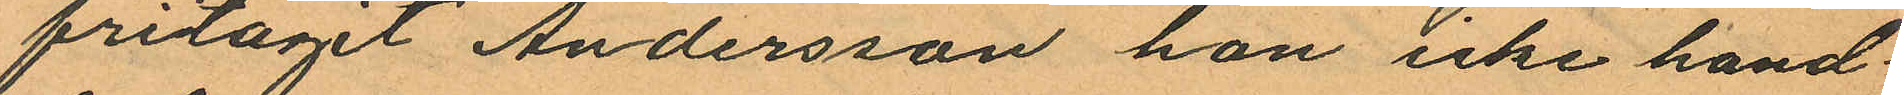fritagit Andersson han icke hand¬
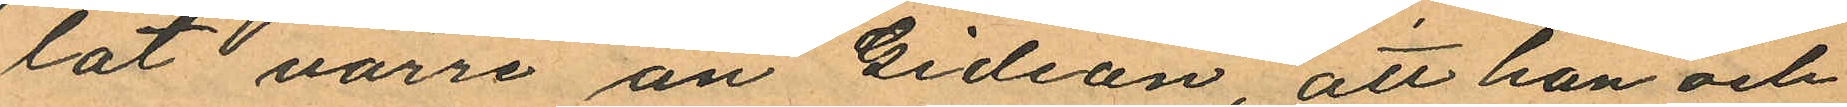lat värre än Gideon, att han och
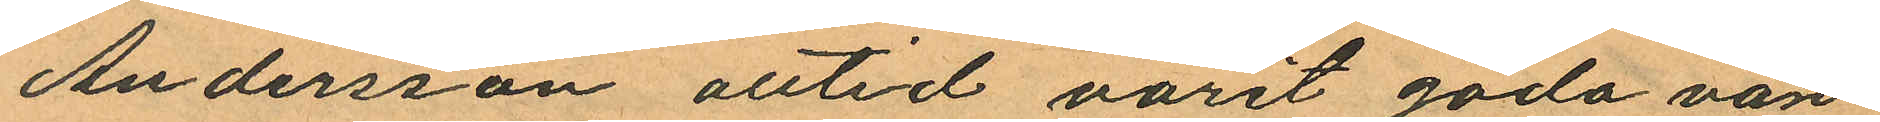Andersson alttid varit goda vän¬
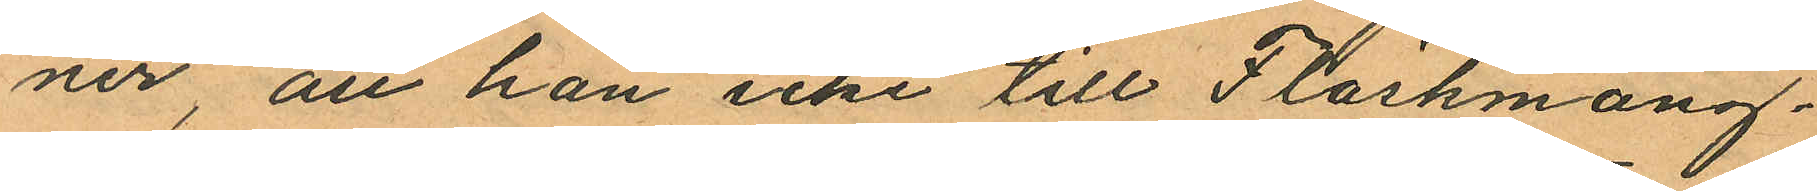ner, att han icke till Fläskmång¬
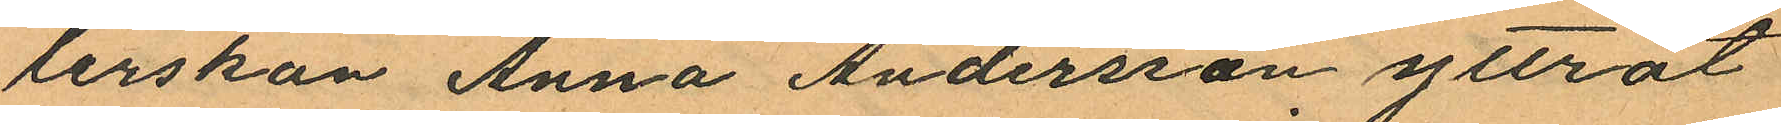lerskan Anna Andersson yttrat
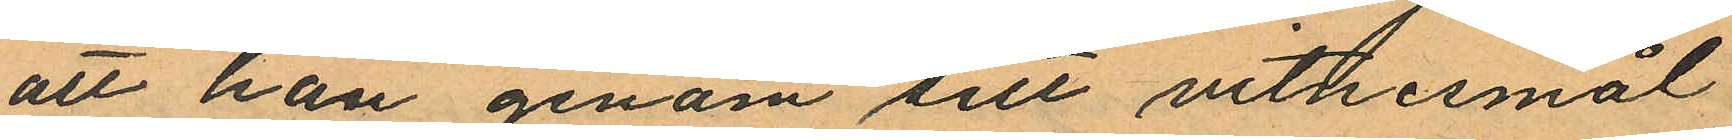att han genom sitt vitnesmål
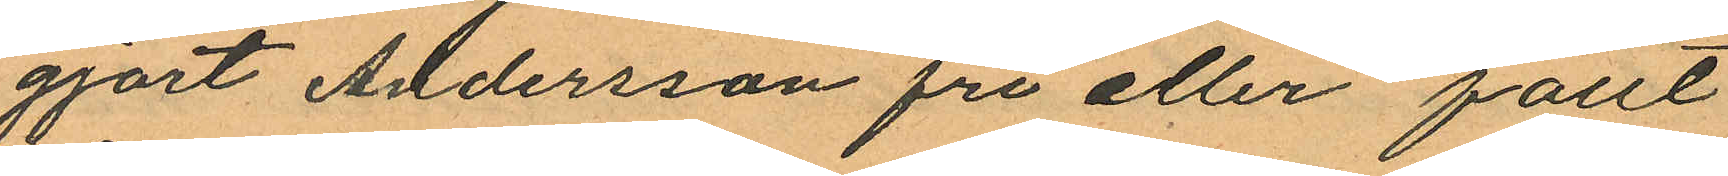gjort Andersson fri eller fällt
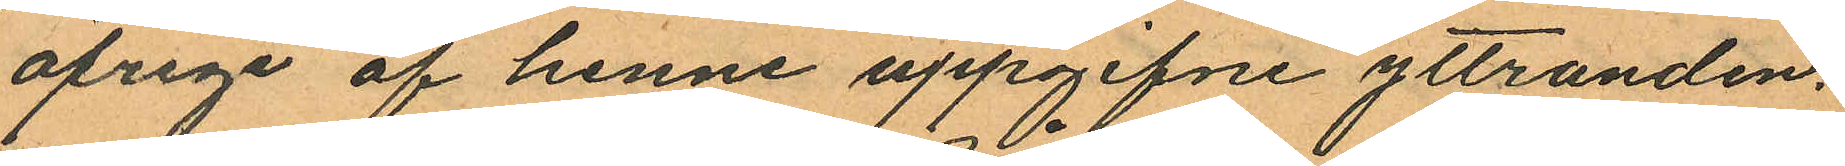öfrige af henne uppgifne yttranden;
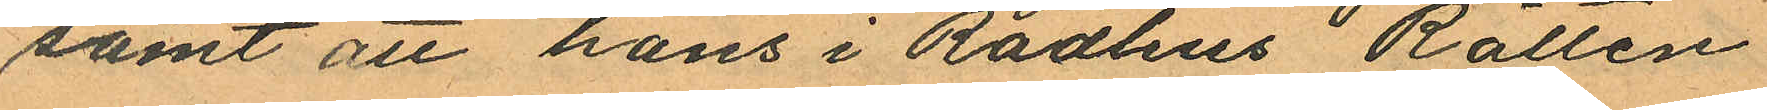samt att hans i Rådhus Rätten
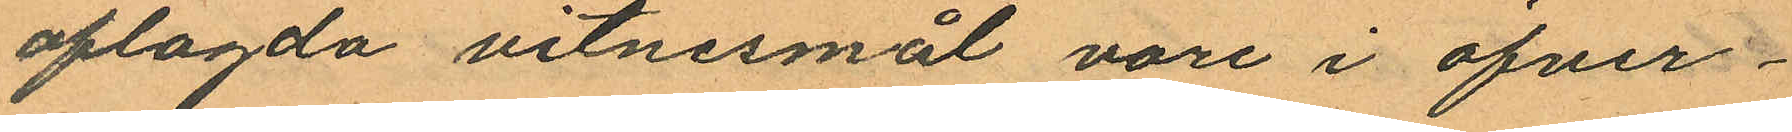aflagda vitnesmål vore i öfver¬
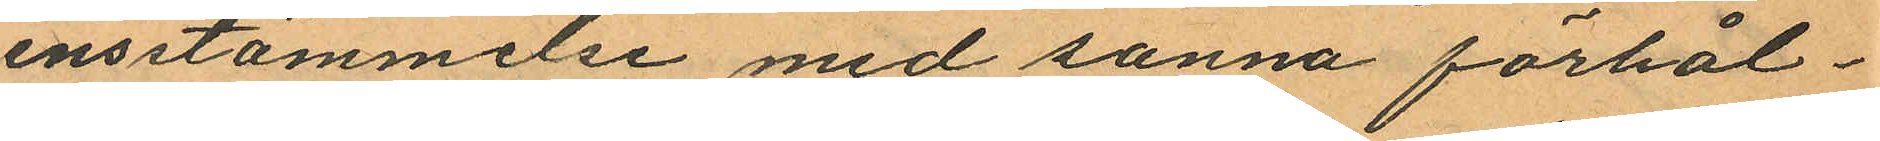ensstämmelse med sanna förhål¬
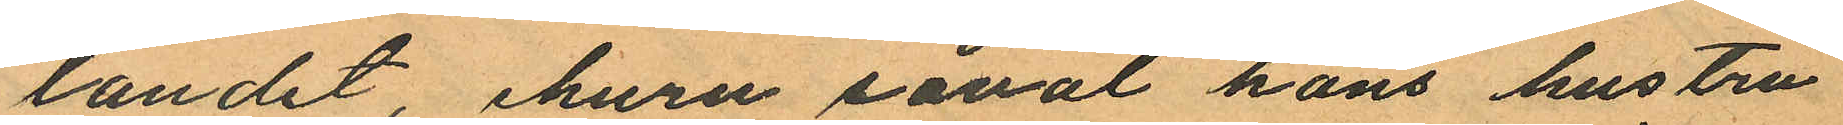landet, ehuru såväl hans hustru
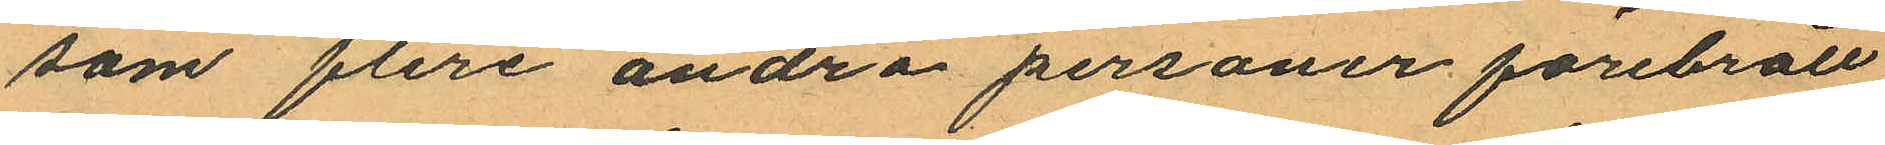som flere andra personer förebrått
